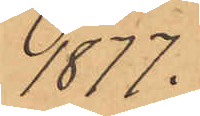1877.
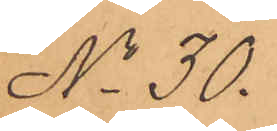No 30.
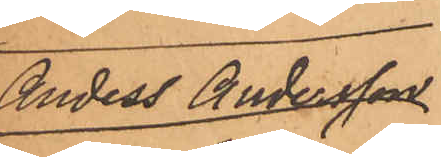Anders Andersson
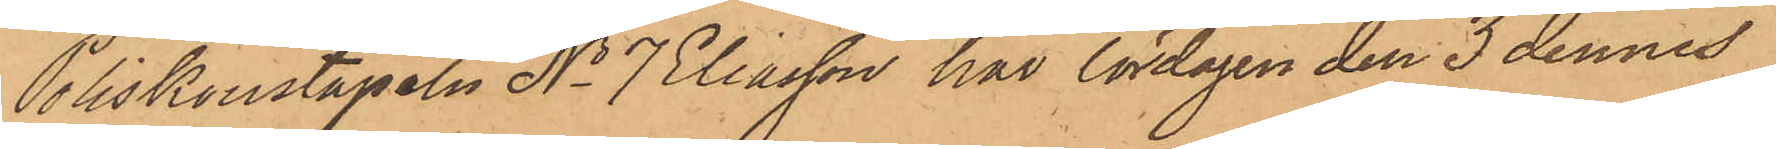Poliskonstapeln No 7 Eliasson har lördagen den 3 dennes
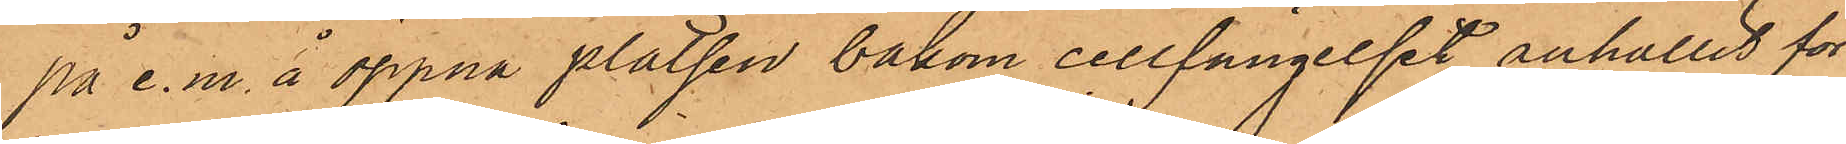på e. m. å öppna platsen bakom cellfängelset anhållit för
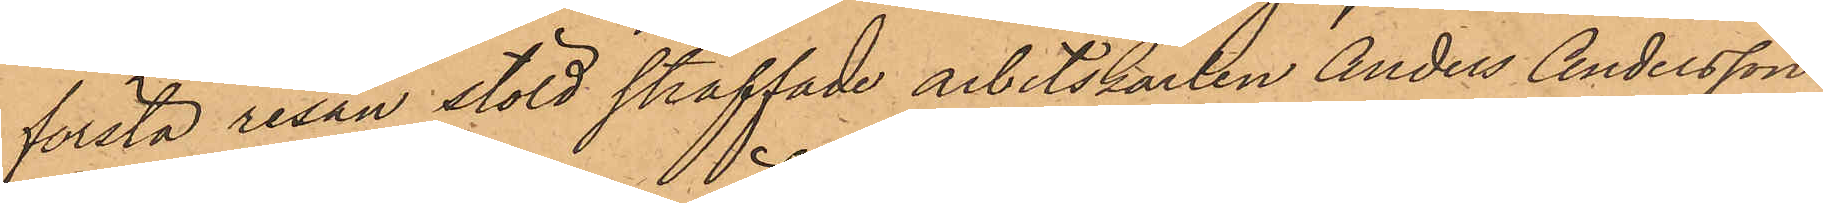första resan stöld straffade arbetskarlen Anders Andersson
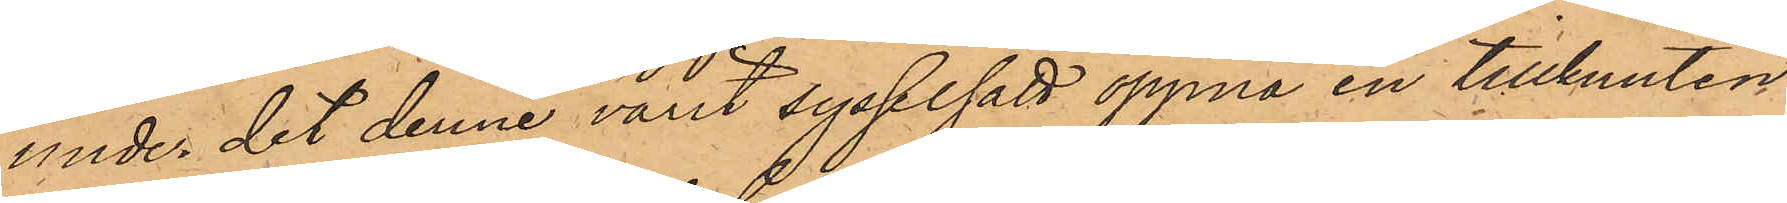under det denne varit sysselsatt öppna en tillknuten
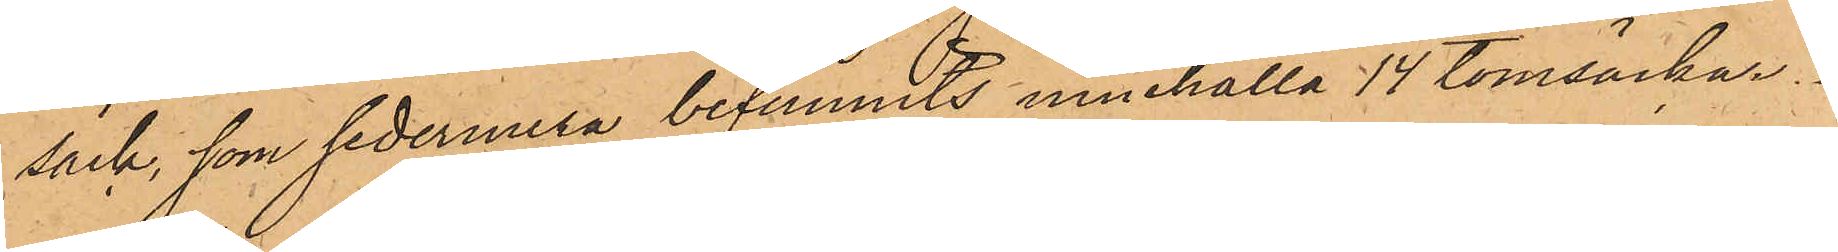säck, som sedermera befunnits innehålla 14 tomsäckar.
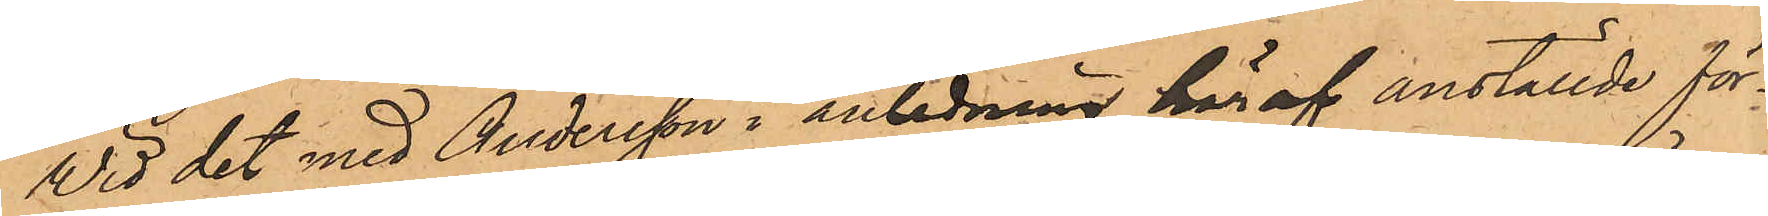Vid det med Andersson i anledning här af anställde för¬
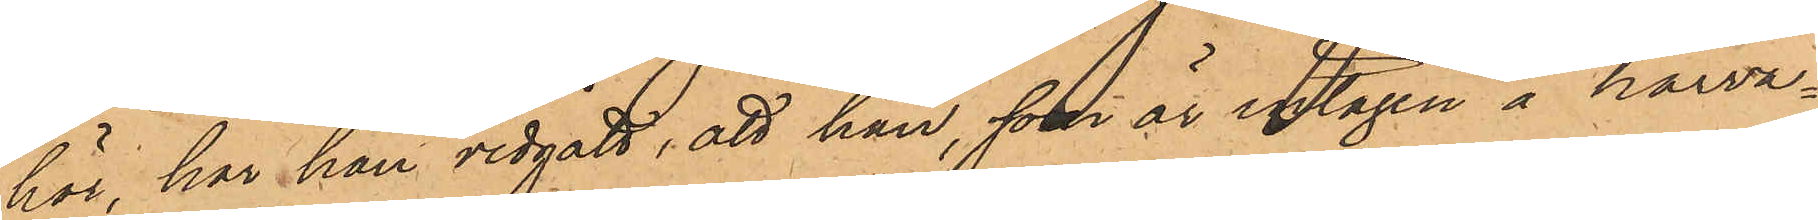hör, har han vidgått, att han, som är intagen å härva¬
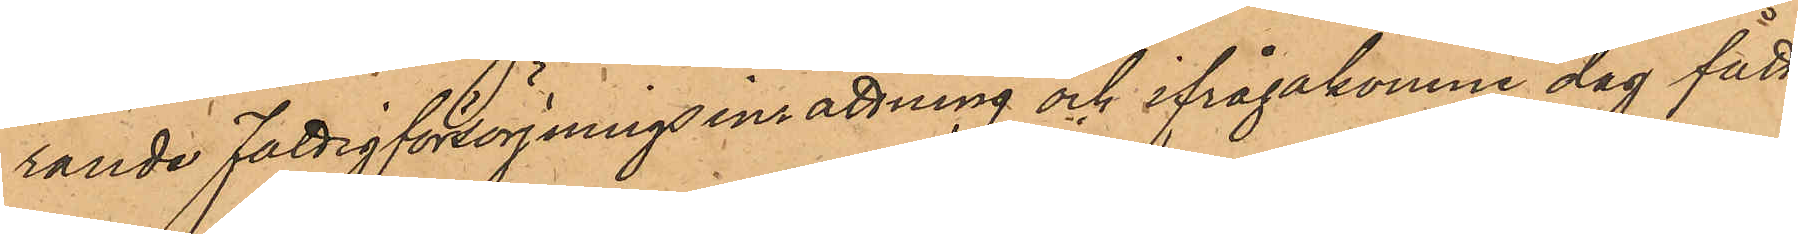rande Fattigförsörjningsinrättning och ifrågakomne dag fått
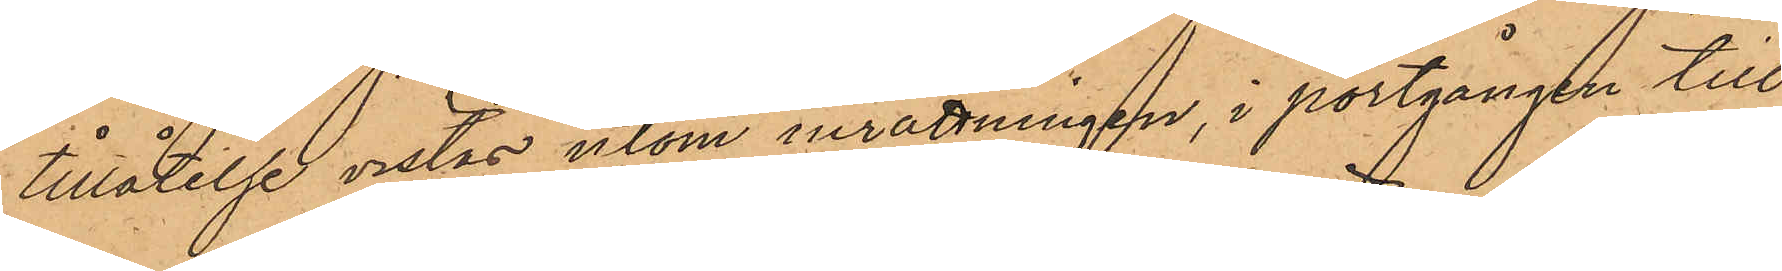tillåtelse vistas utom inrättningen, i portgången till
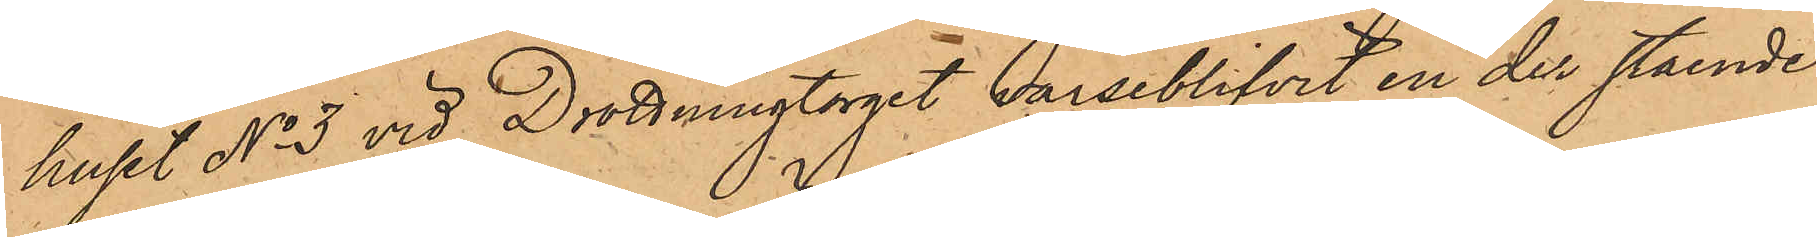huset No 3 vid Drottningtorget varseblifvit en der stående
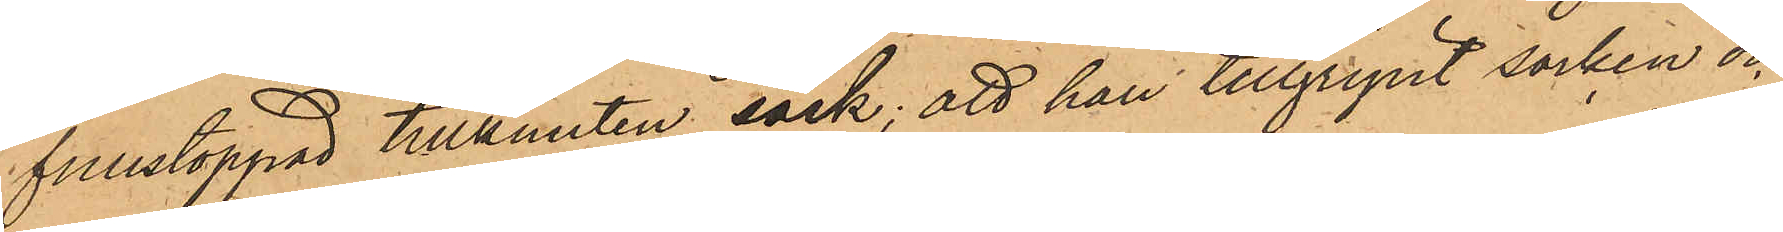fullstoppad tillknuten säck; att han tillgripit säcken och
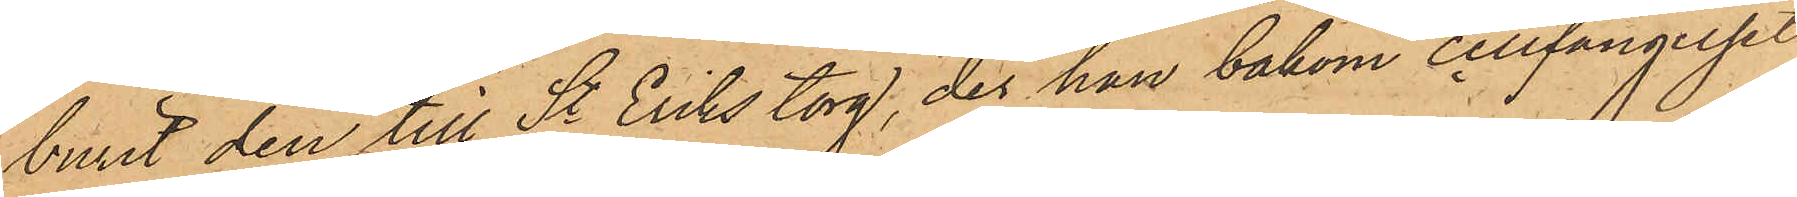burit den till St Eriks torg, der han bakom cellfängelset
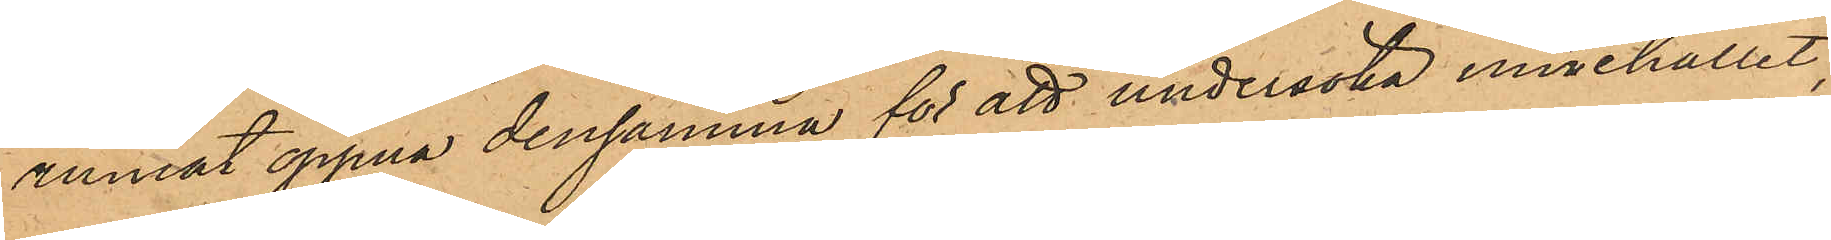ämnat öppna densamma för att undersöka innehållet,
